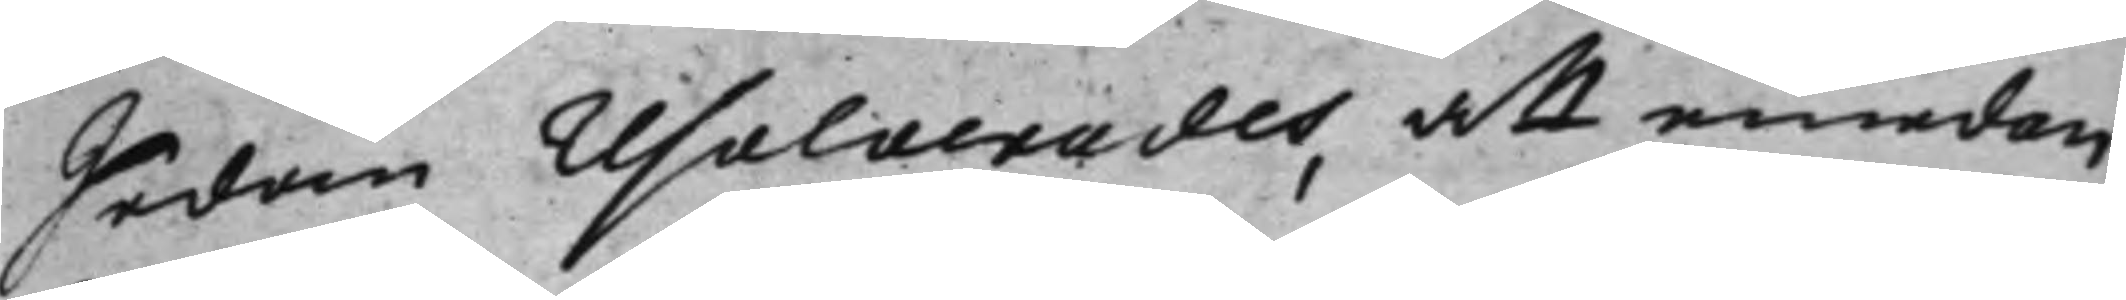Sedan resolverades att emedan
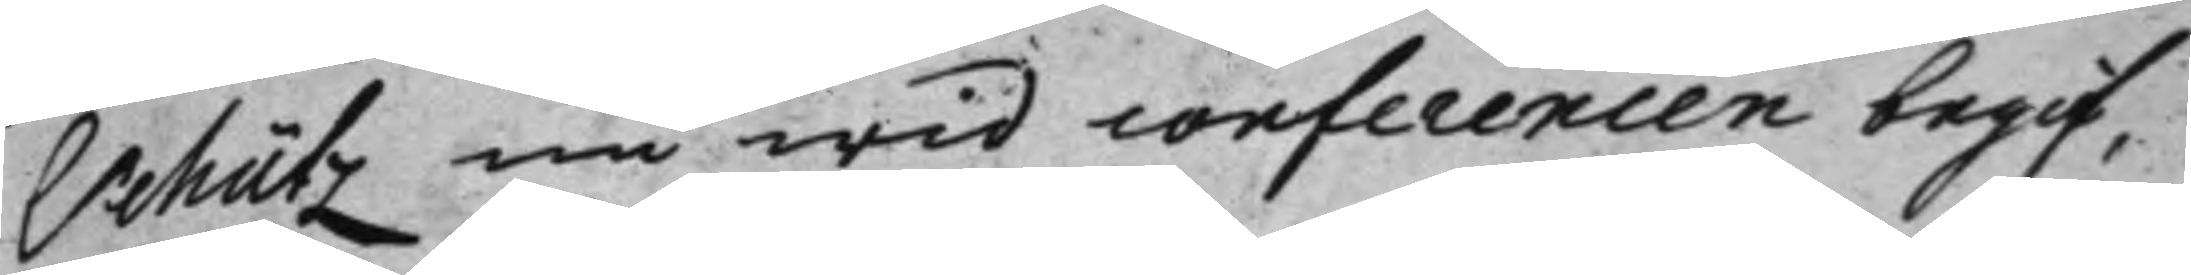Schütz nu wid conferencen begif¬
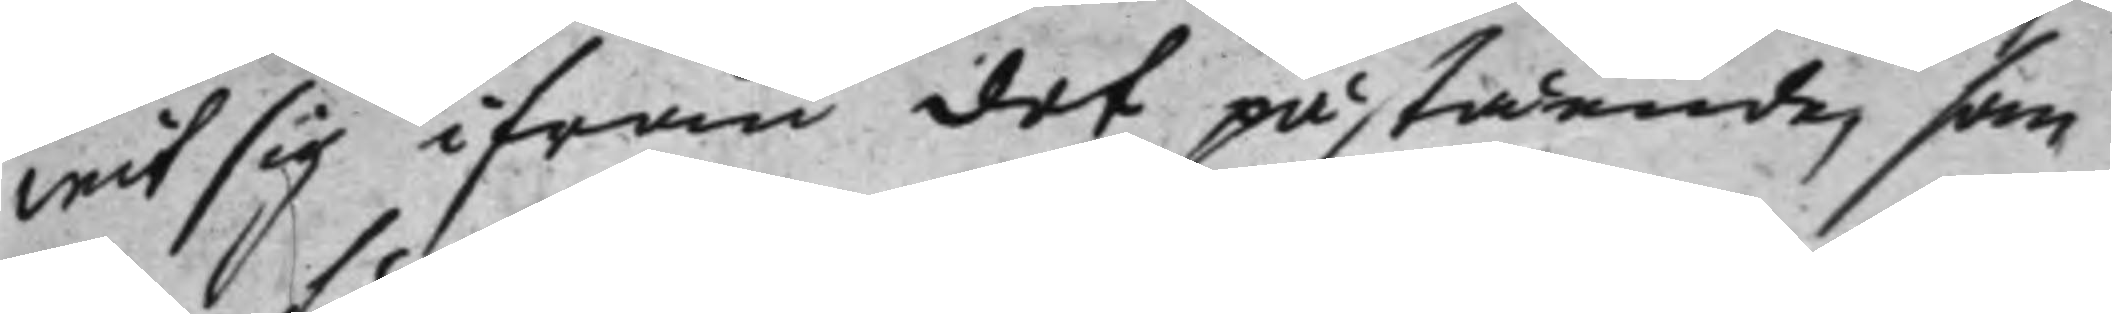wit sig ifrån det påstående, som
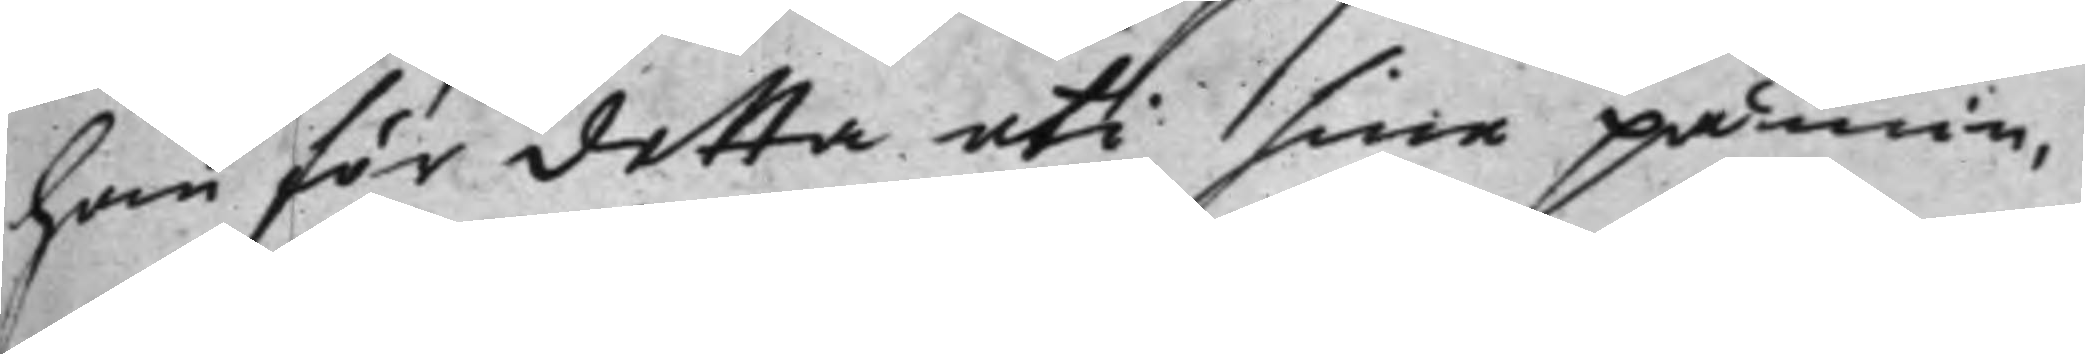han för detta uti sina påmin¬
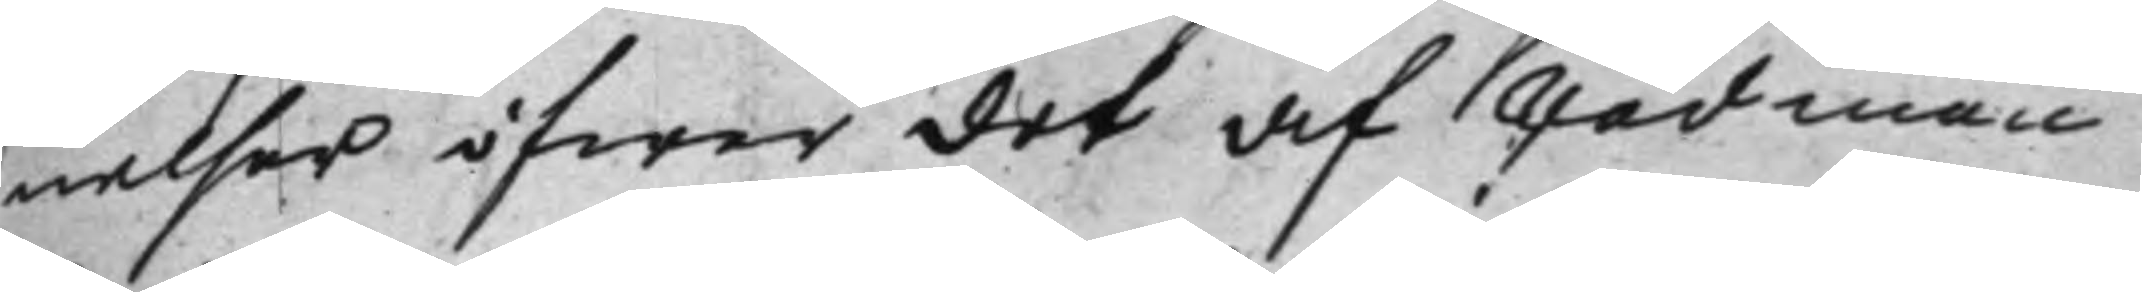nelser öfwer det af Rådman
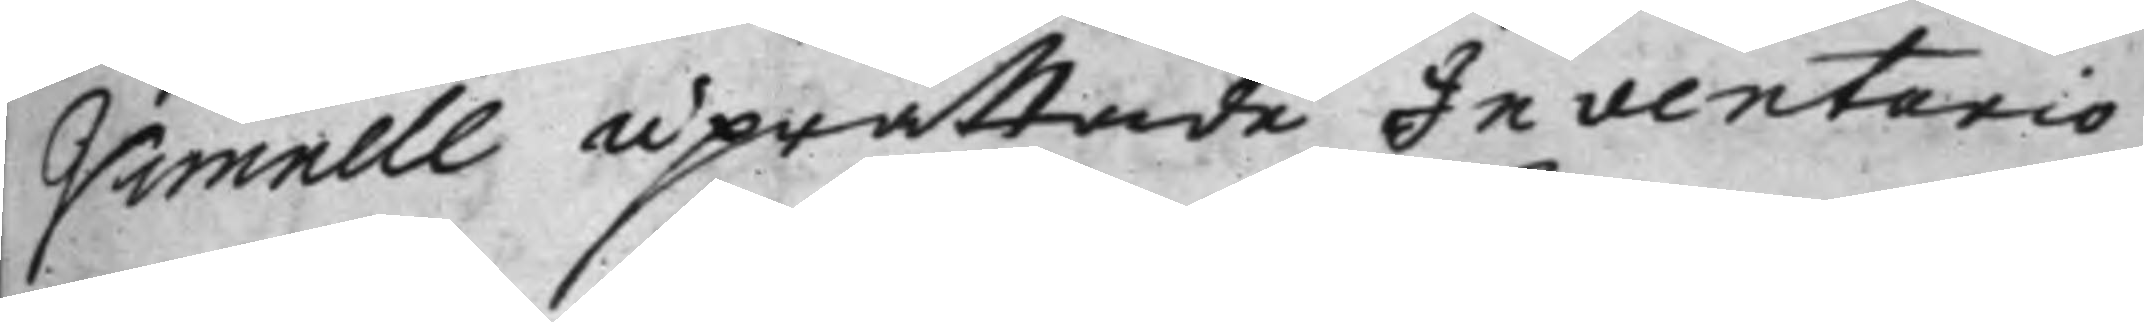Vimnell uprättade Inventario
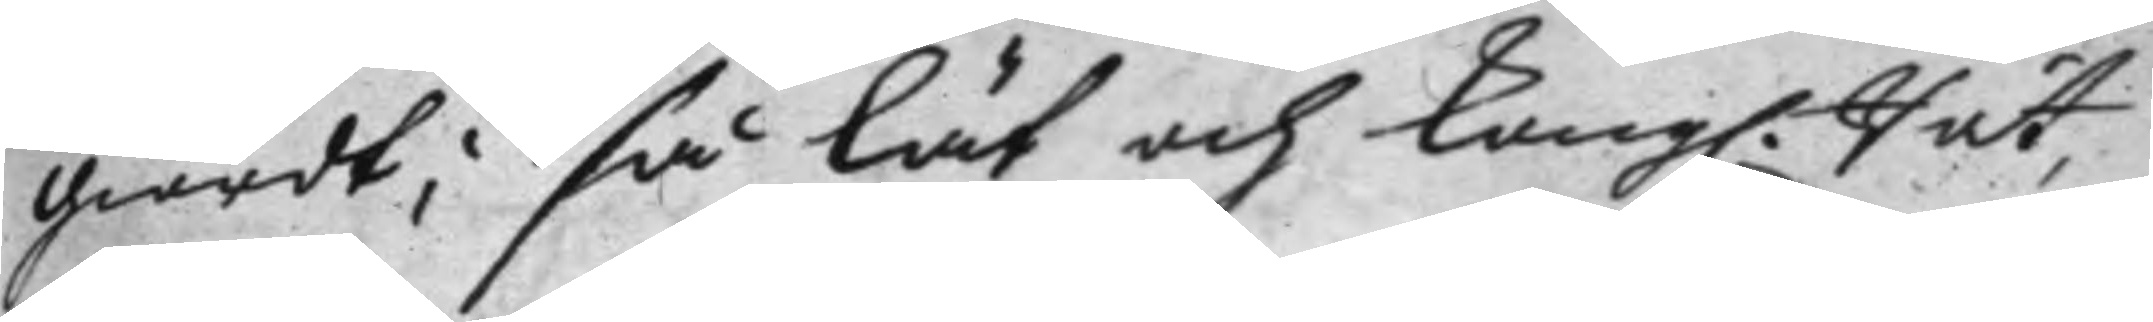giordt; så lät och Kongl. Rät¬
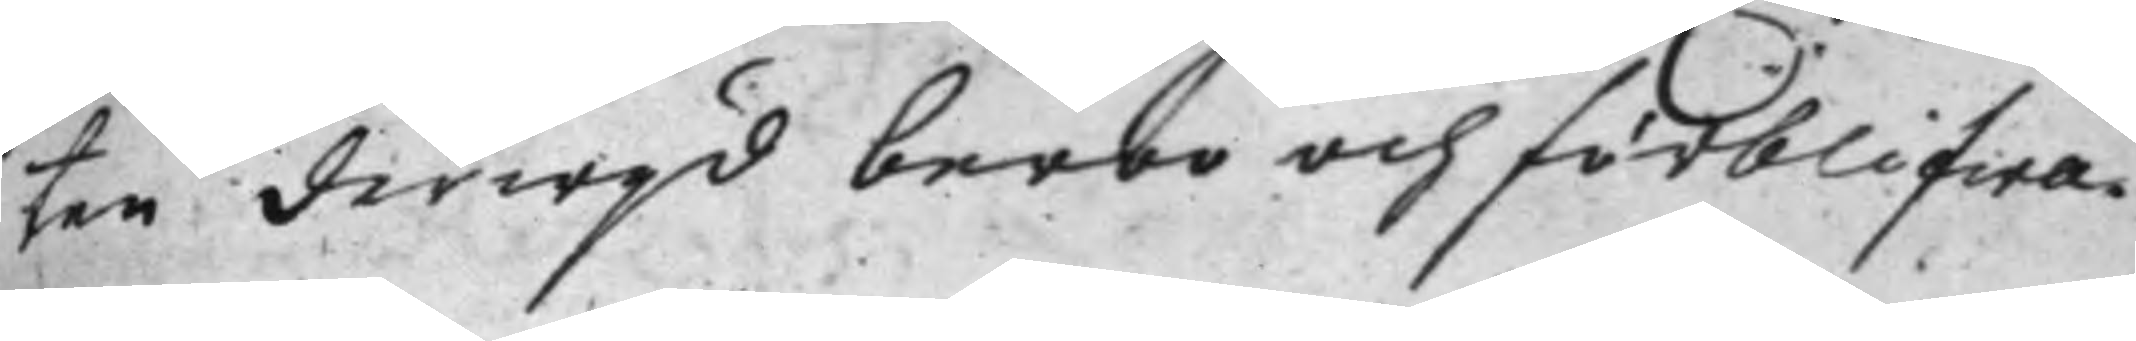ten derwijd beroo och förblifwa.
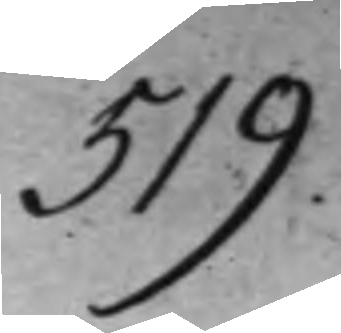519.
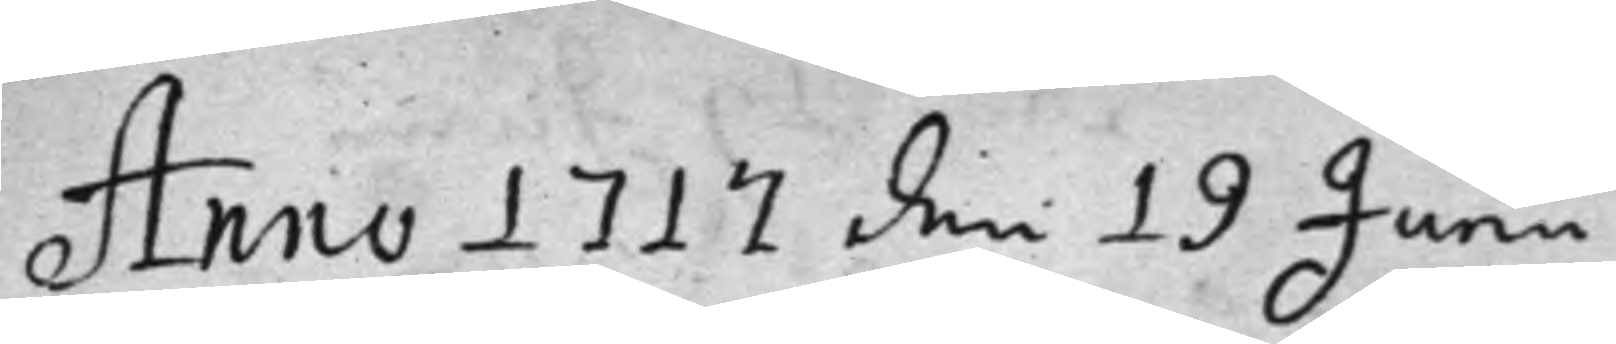Anno 1717 den 19 Junii
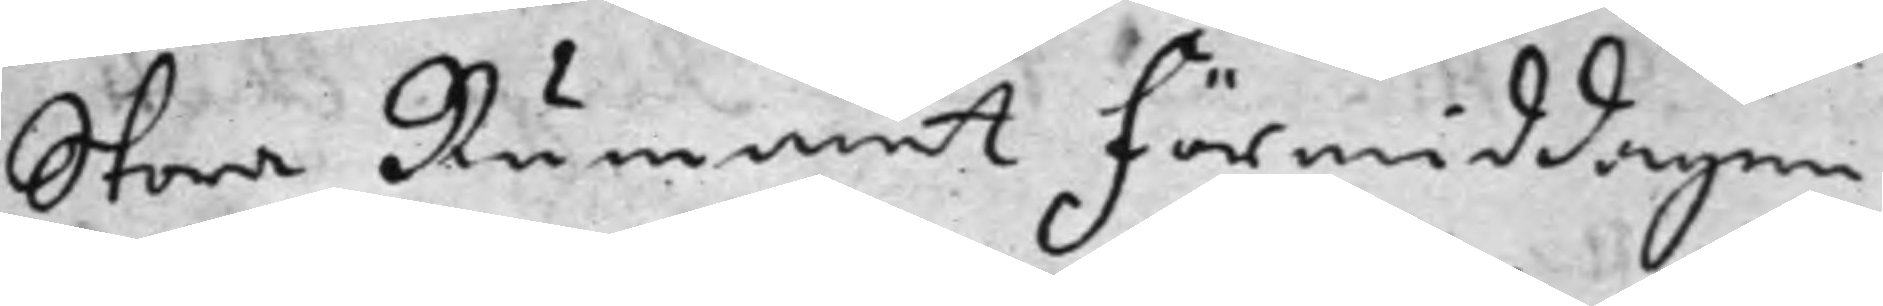Stora Rummet förmiddagen
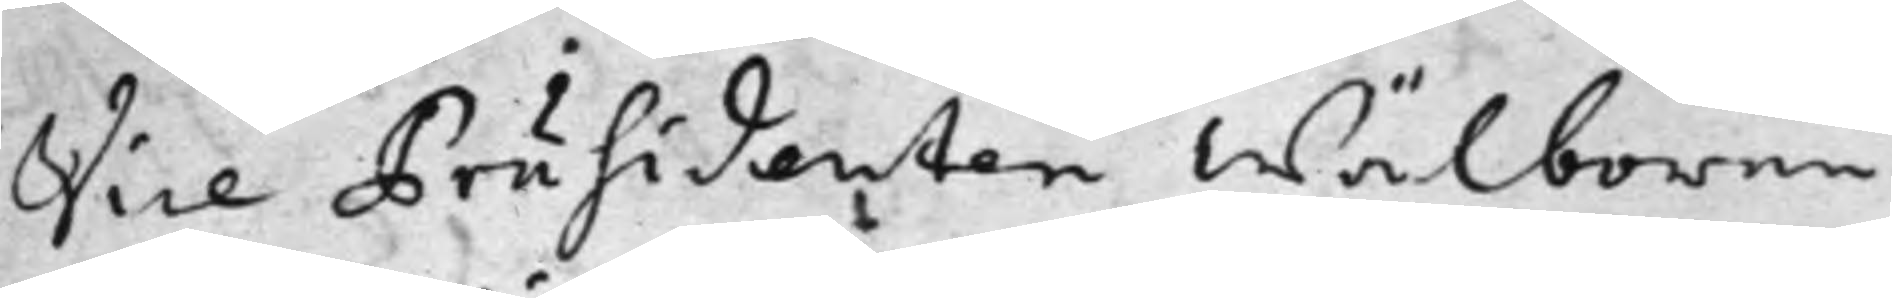Vice Präsidenten wälborne
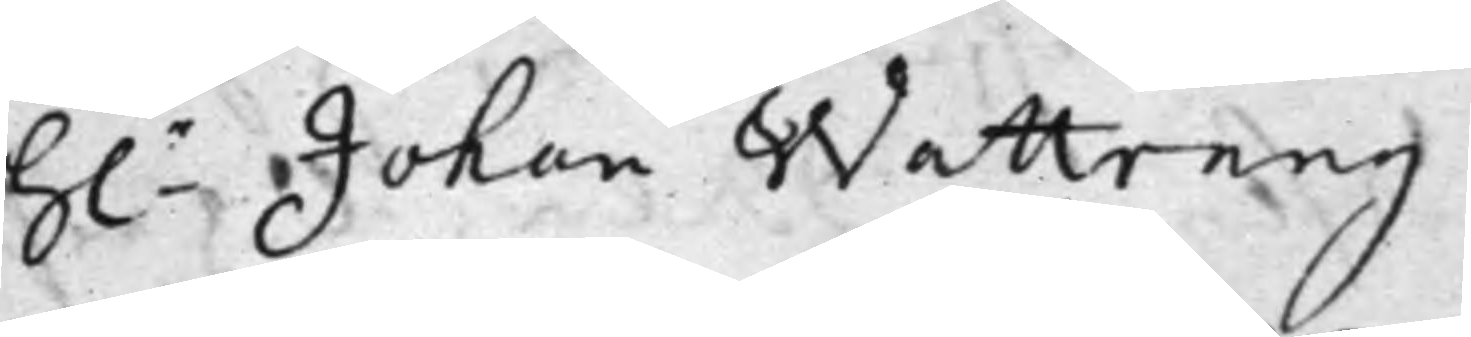h.r Johan Wattrang
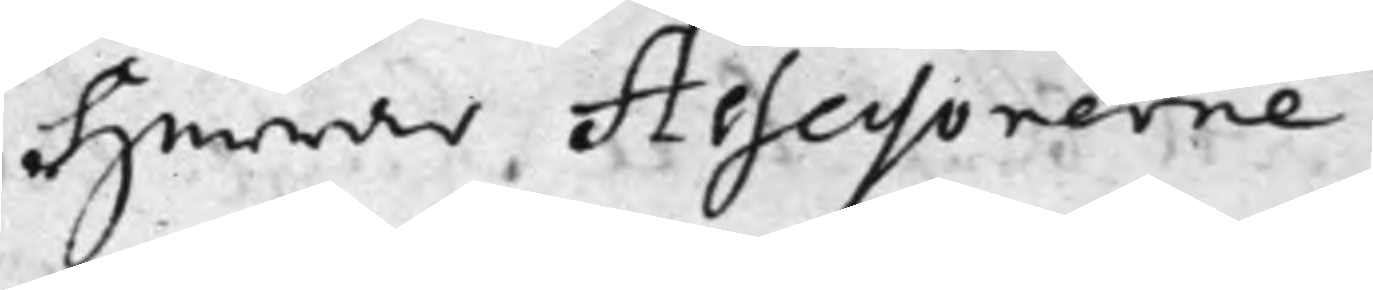Herrar Assessorerne
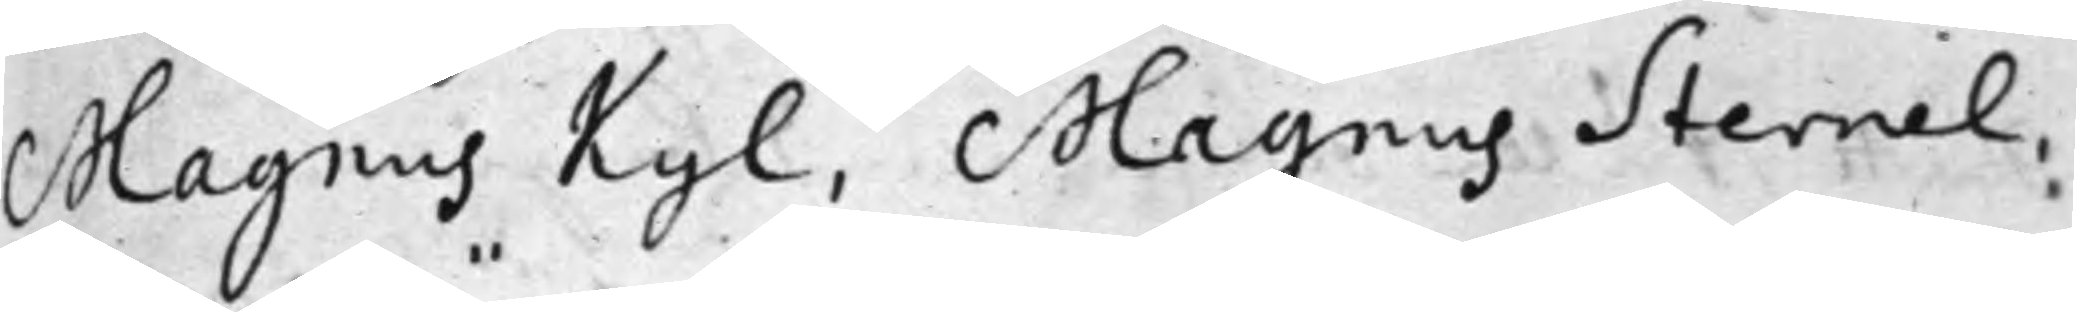Magnus Kijl, Magnus Sternel,
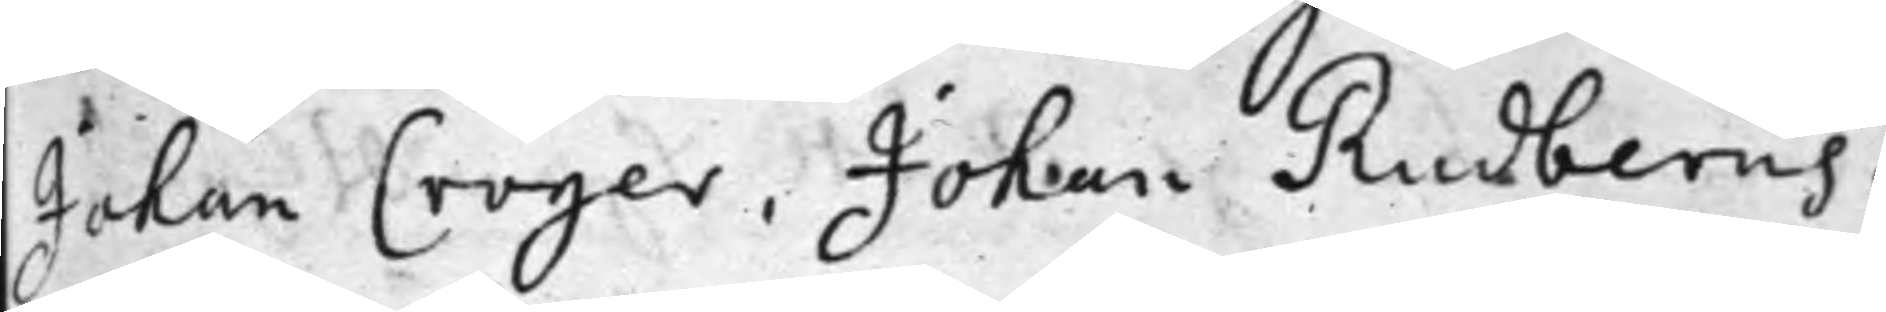Johan Cröger, Johan Rudberus,
